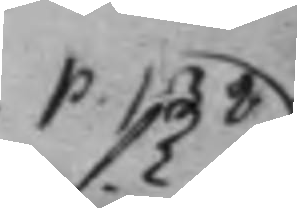P. 138
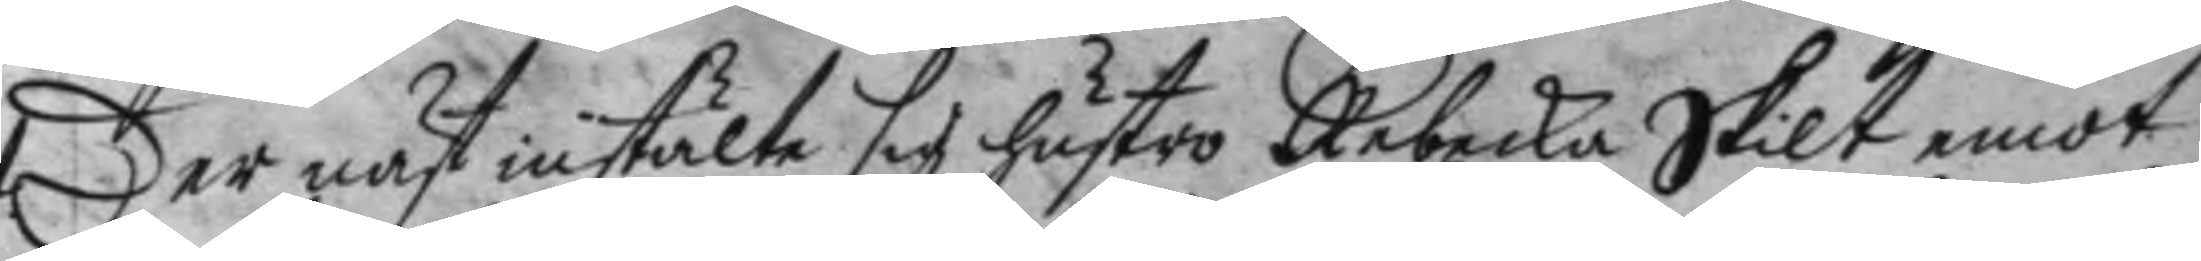Der näst instälte sig hustro Rebecka Skilt ewmot
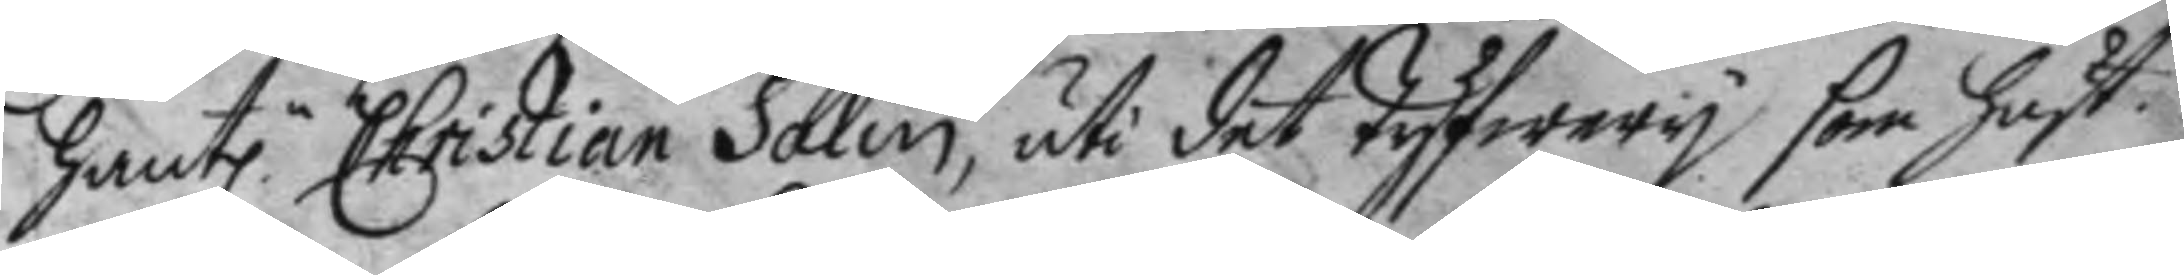hant.n Christian Salin, uti det Tyfwery som hust.
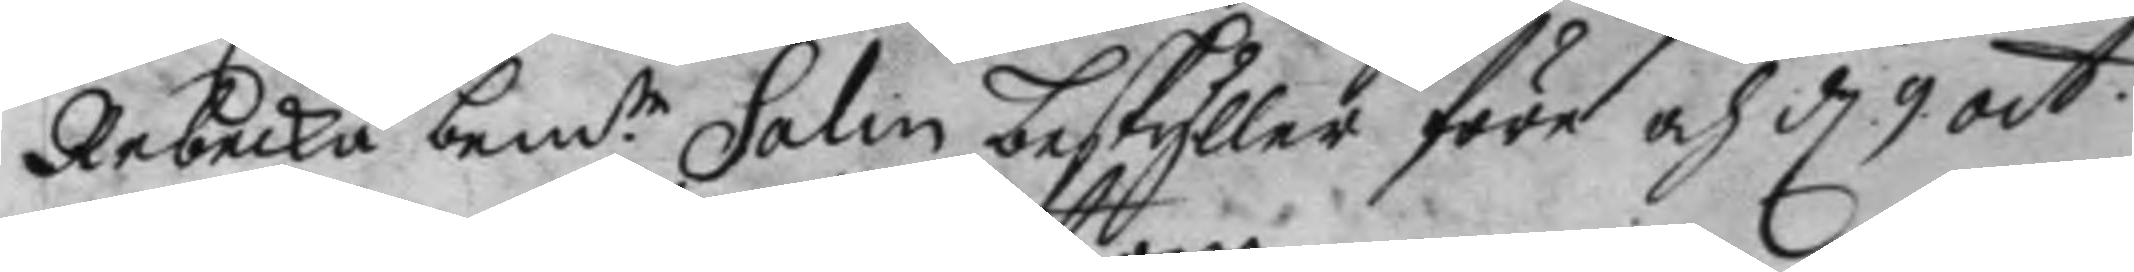Rebecka bem.te Salin beskyller före och d. 9 oct.
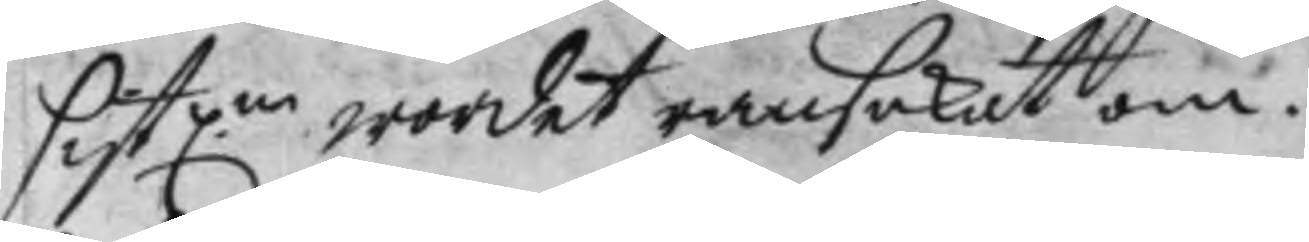sistl.ne wordet ransakat om.
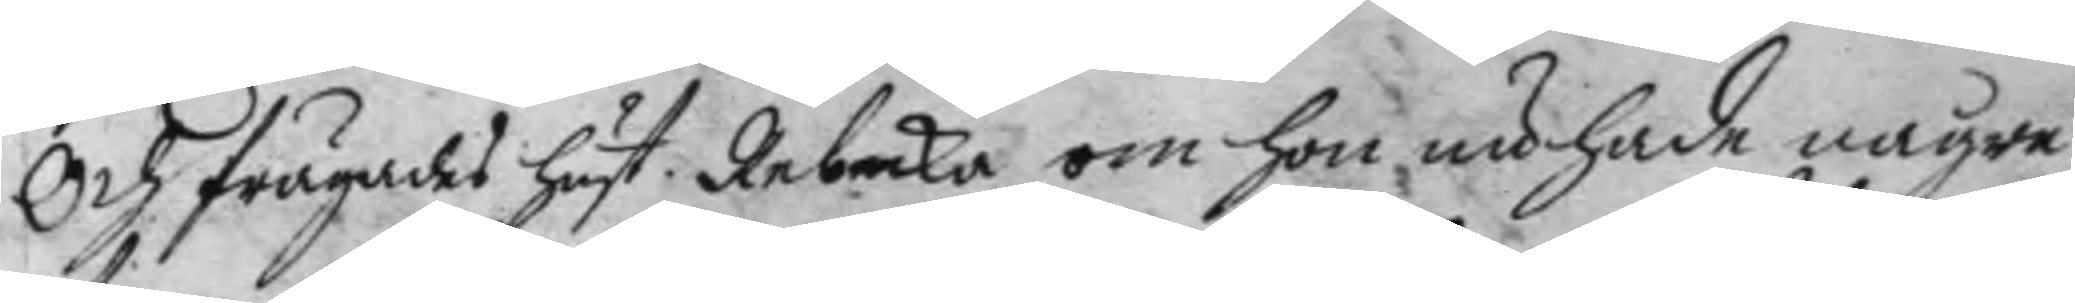Och frågades hust. Rebecka om hon nu hade någre
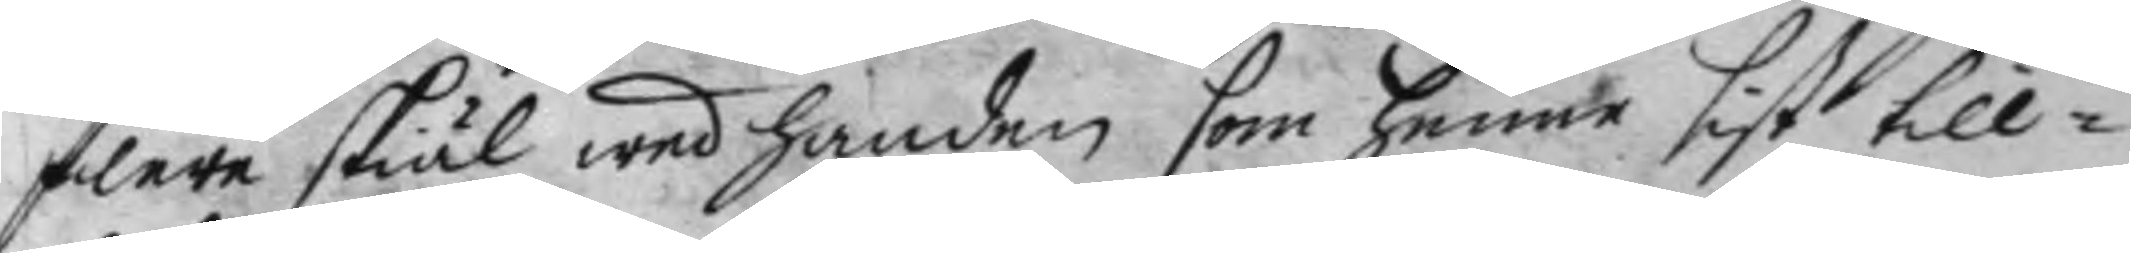flere skiäl wed handen som henne sist till¬
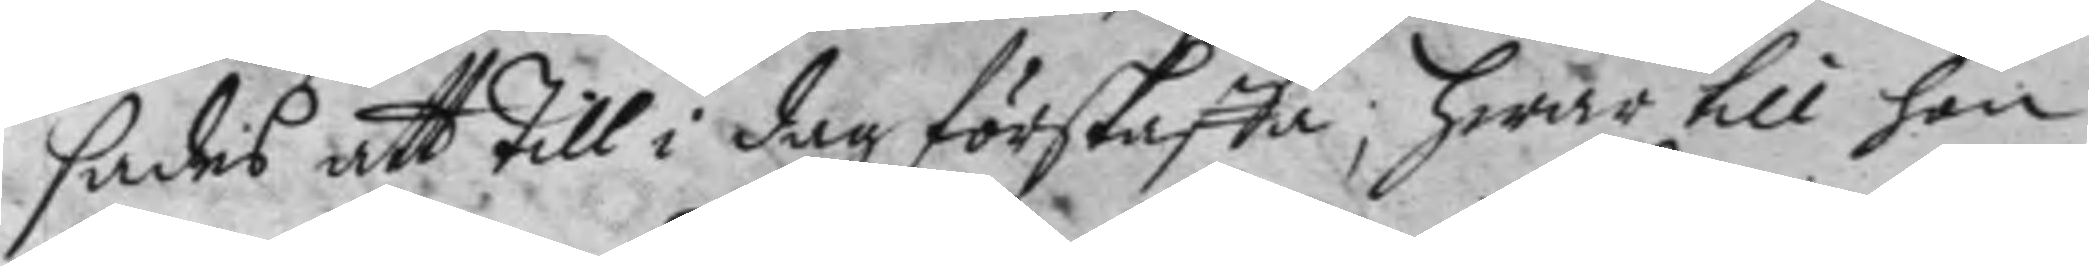sades att till i dag förskaffa; hwar till hon
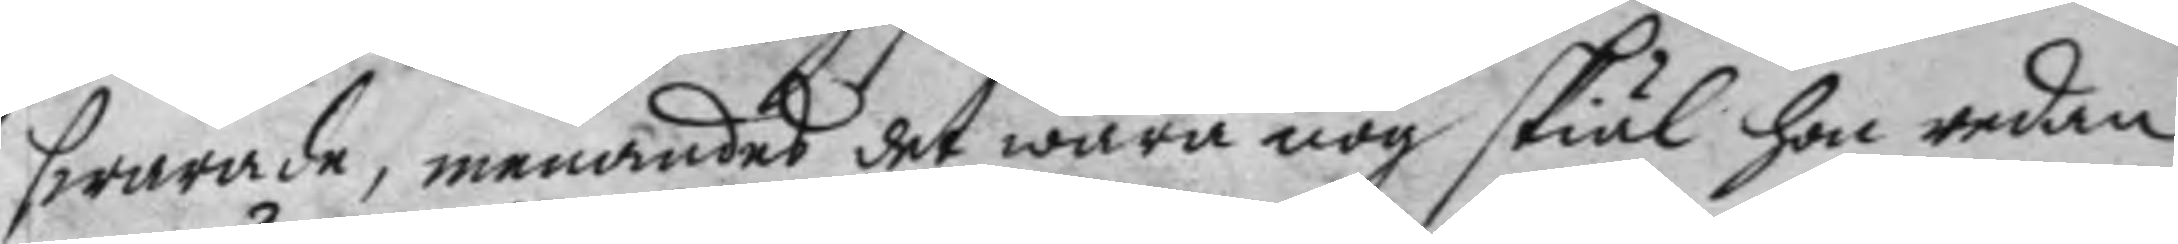swarade, menandes det wara nog skiäl hon redan
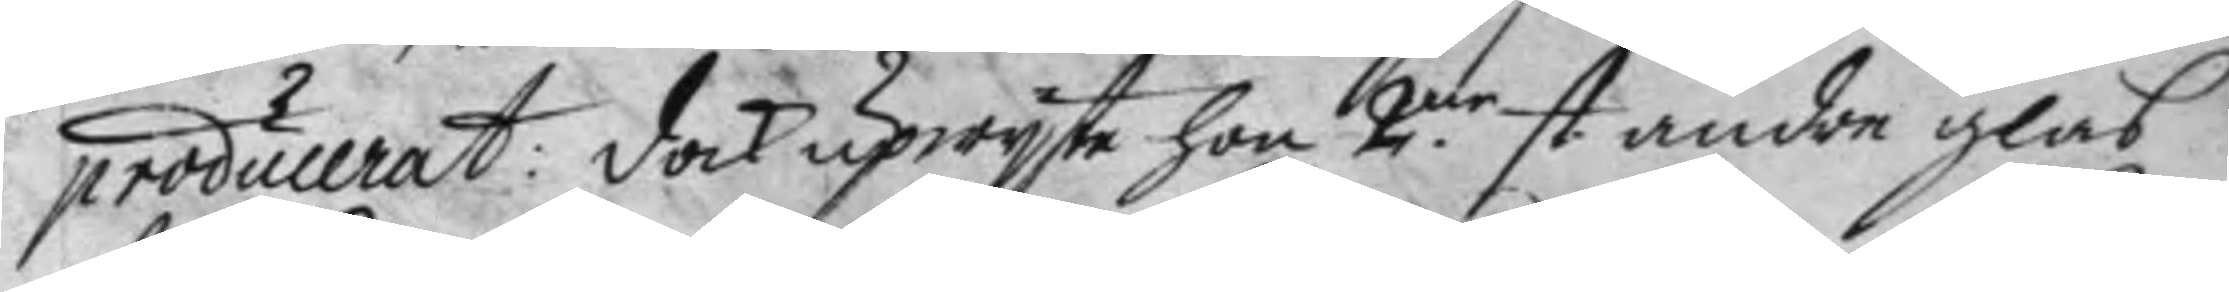producerat: dock upwyste hon 2.ne st. andra glas¬
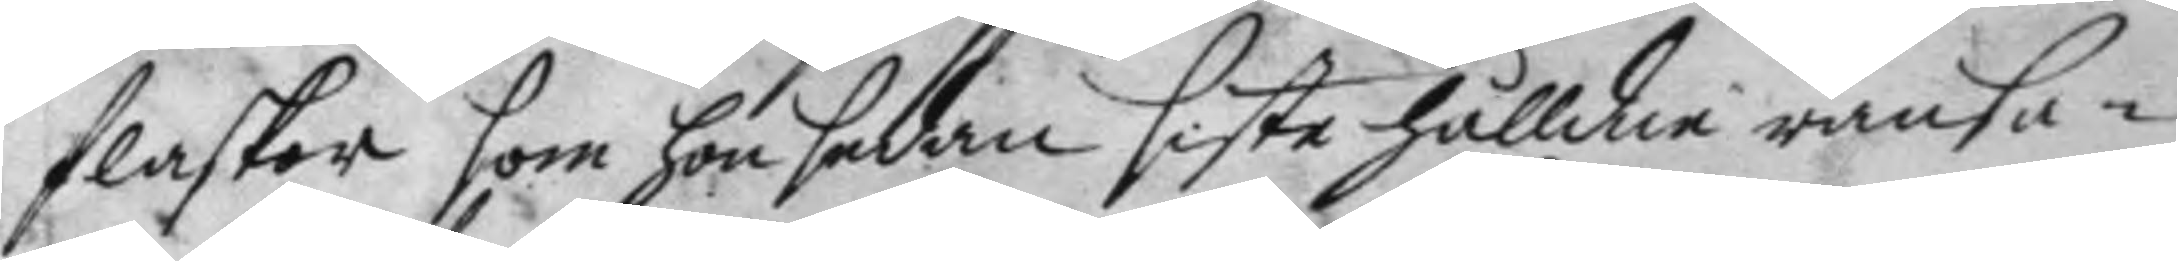flaskor som hon sedan siste hålldne ransa¬
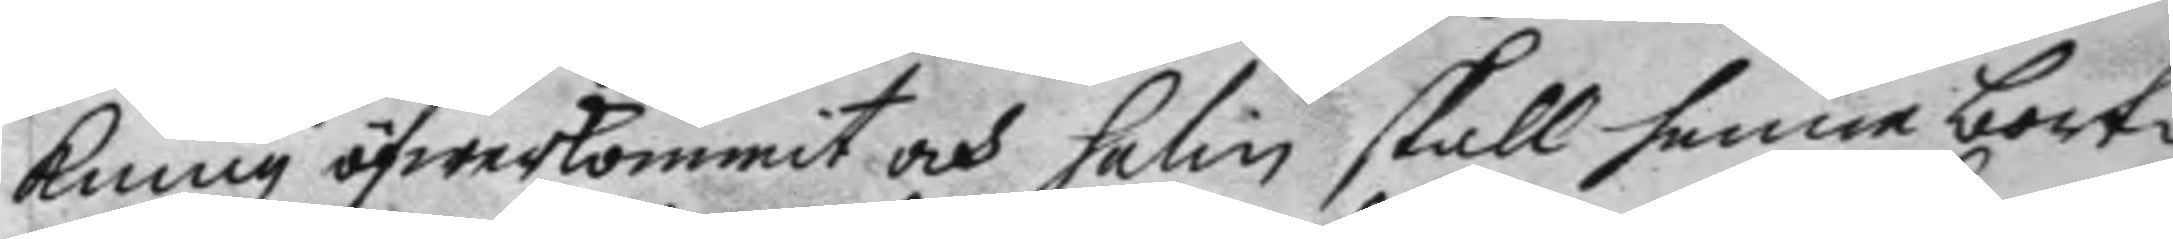kning öfwerkommit och salin skall henne bort¬
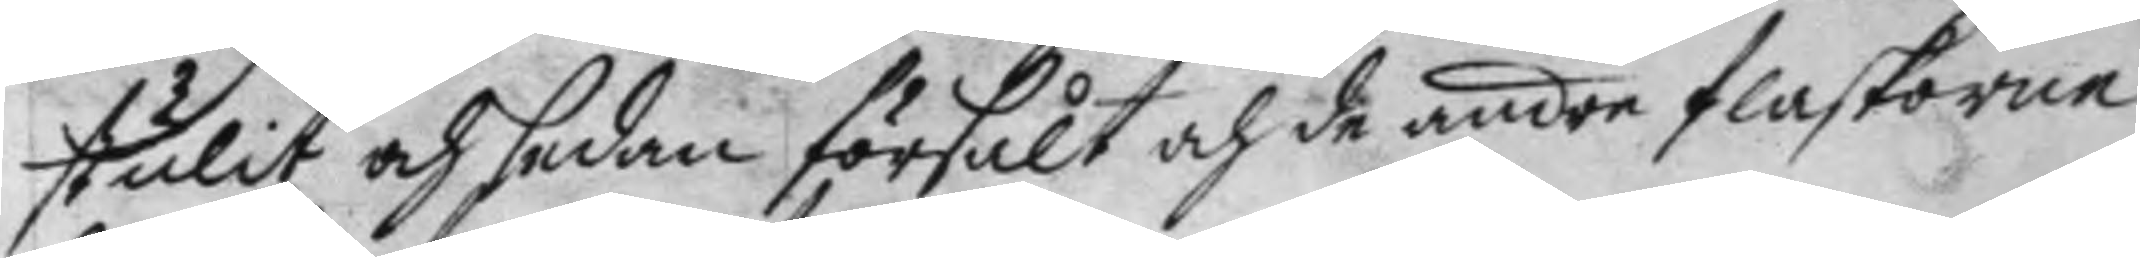stulit och sedan försålt och de andre flaskorne
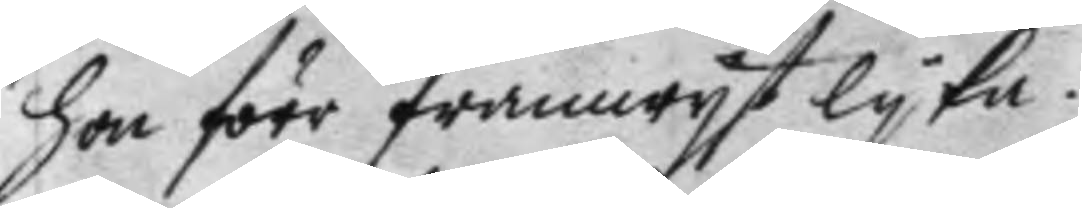hon förr framwyst lyka.
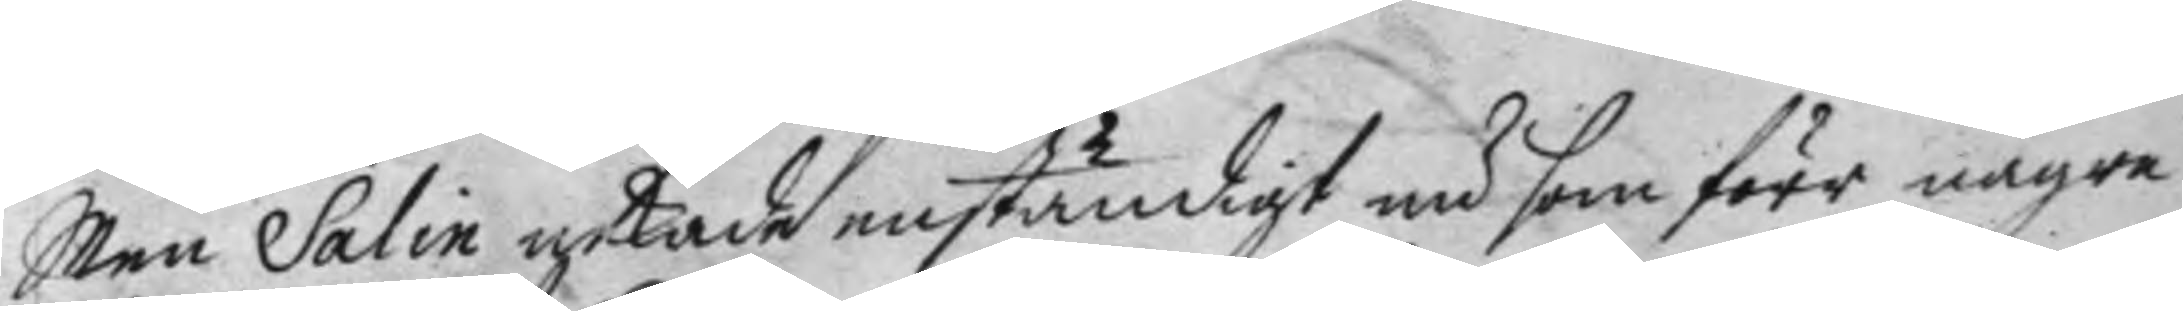Men Salin nekade enständigt nu som förr någre
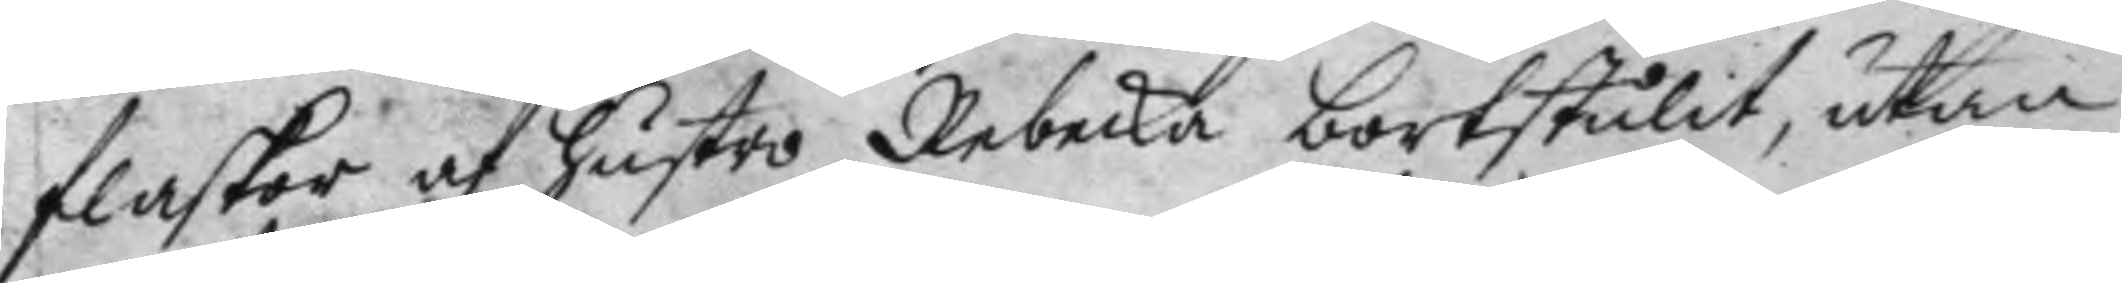flaskor af hustro Rebecka bortstulit, utan
